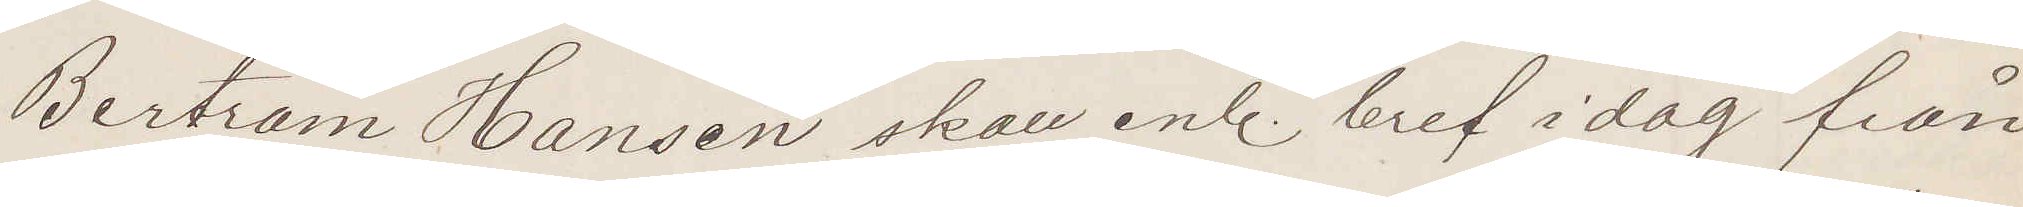Bertram Hansen skall enl. bref i dag från
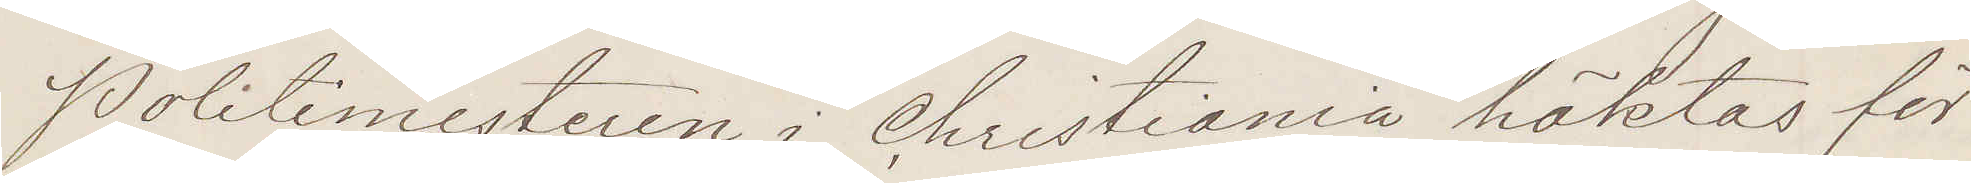Politimesteren i Christiania häktas för
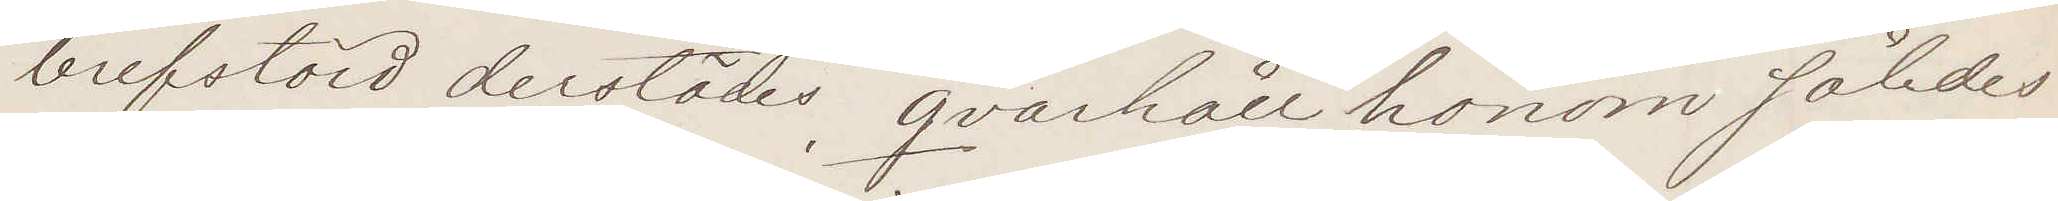brefstöld derstädes qvarhåll honom således
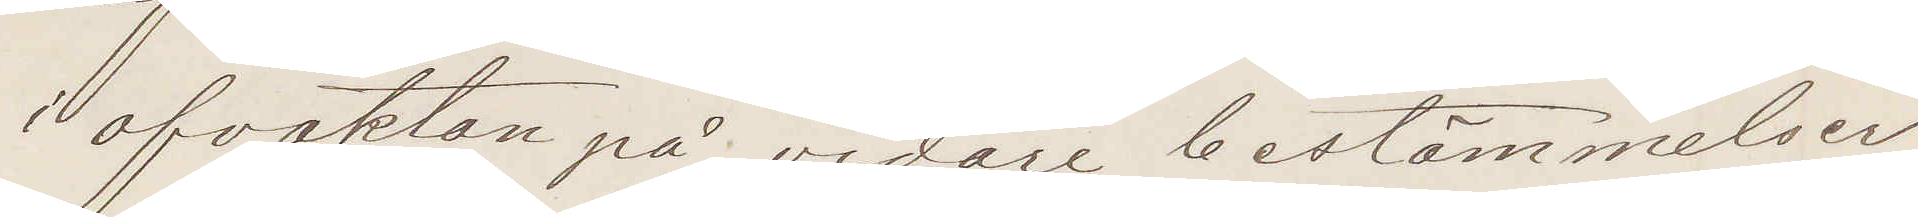i afvaktan på vidare bestämmelser
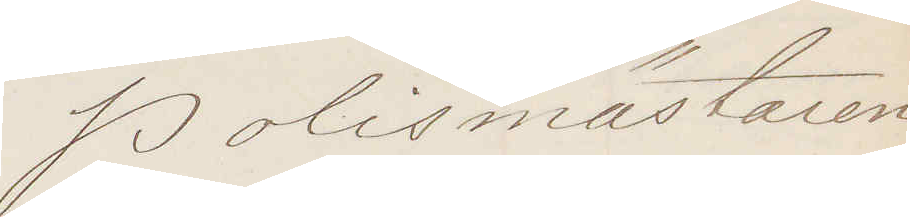Polismästaren
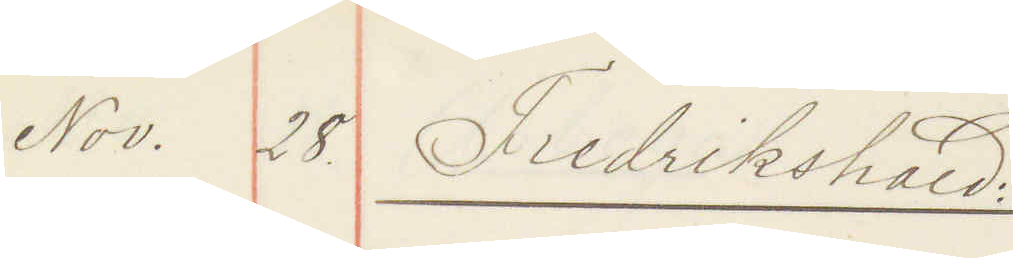Nov. 28 Fredrikhald
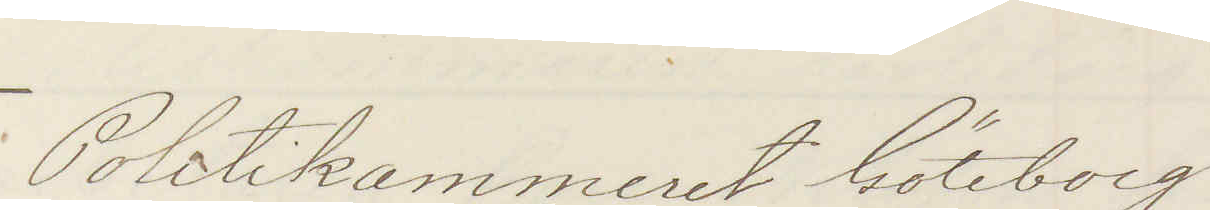Politikammeret Göteborg
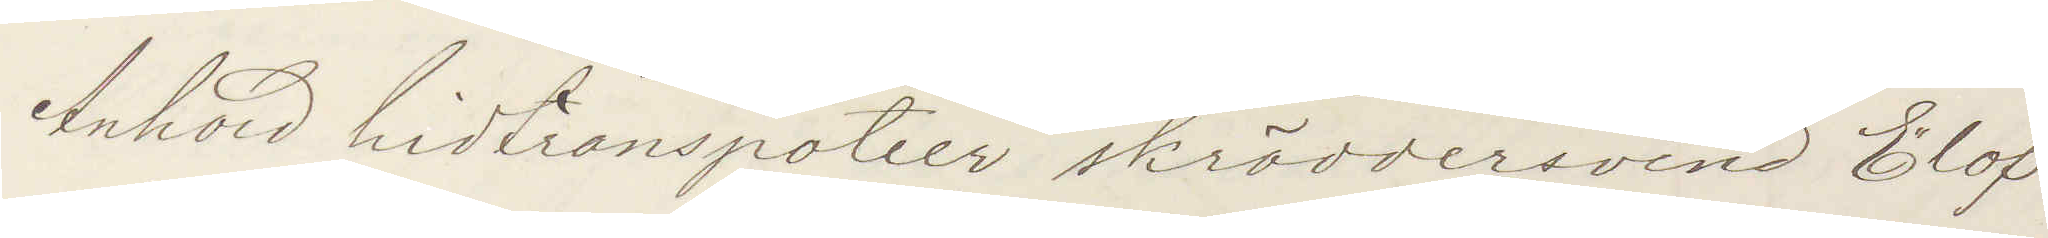Anhold hidtranspotier skräddersvend Elof
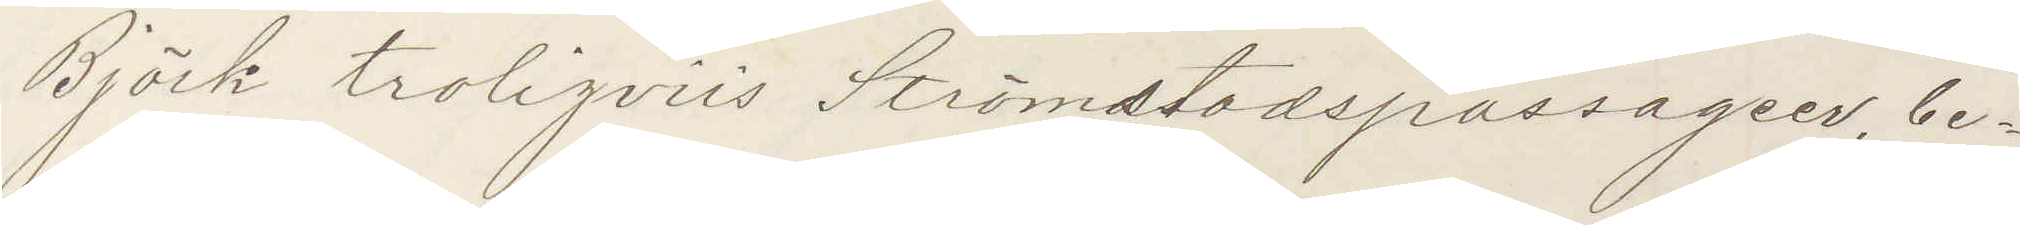Björk troligviis Strömstadspassageer, be¬
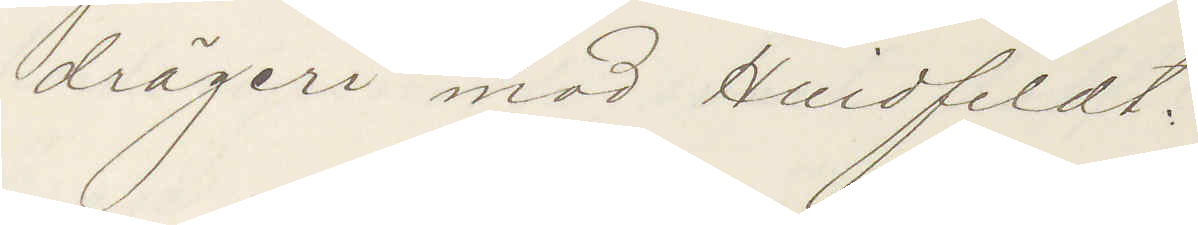drägeri mod Hvidfeldt.
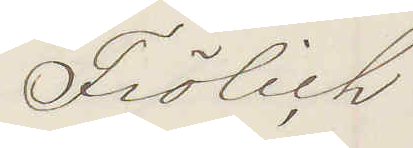Frölich
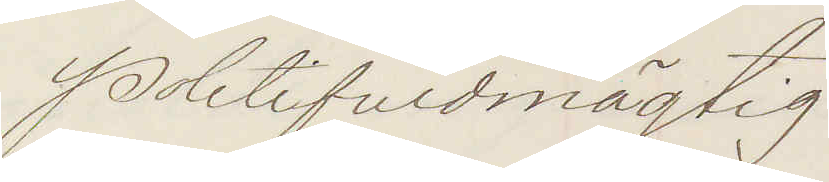Politifuldmägtig
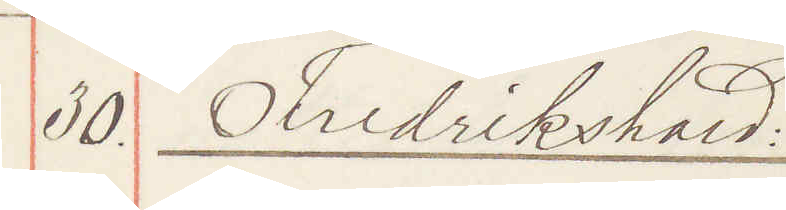30. Fredrikshald
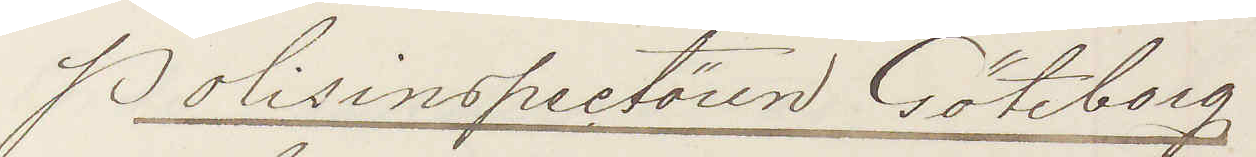Polisinspektören Göteborg
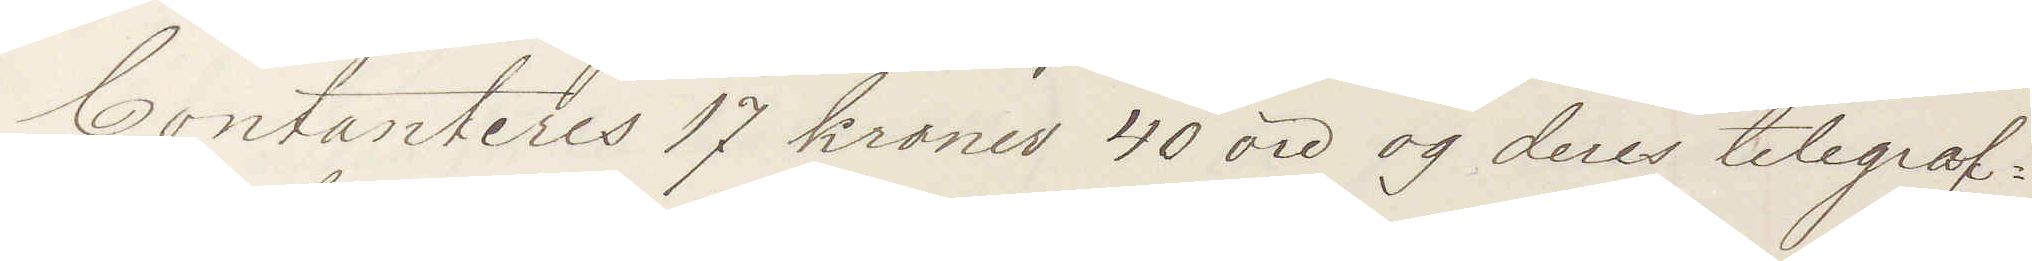Contanteres 17 kroner 40 öre og deres telegraf¬
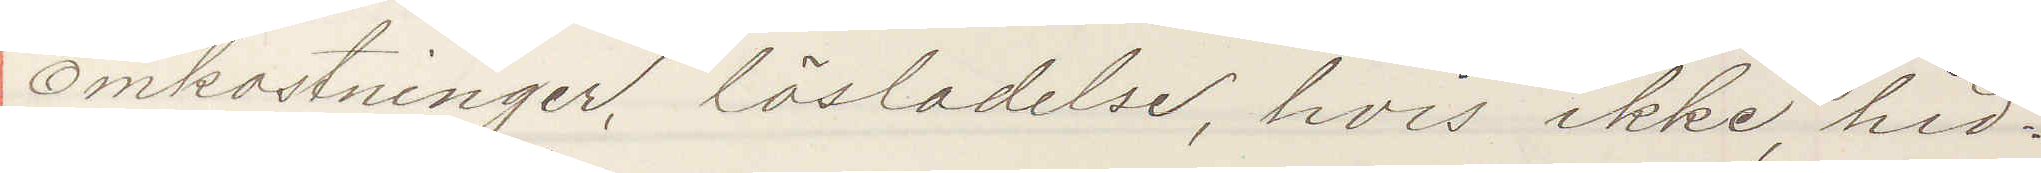omkostninger lösladelse hvis ikke hid¬
